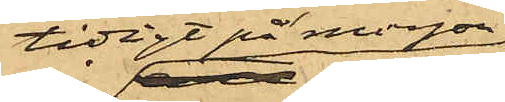tidigt på morgon
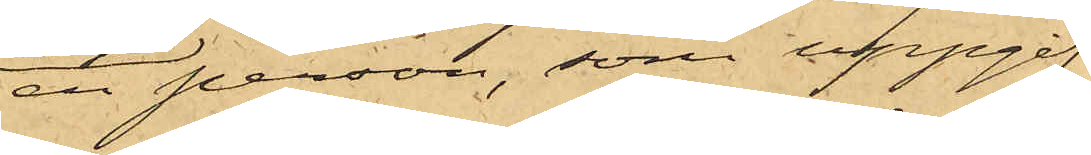en person, som uppgif¬
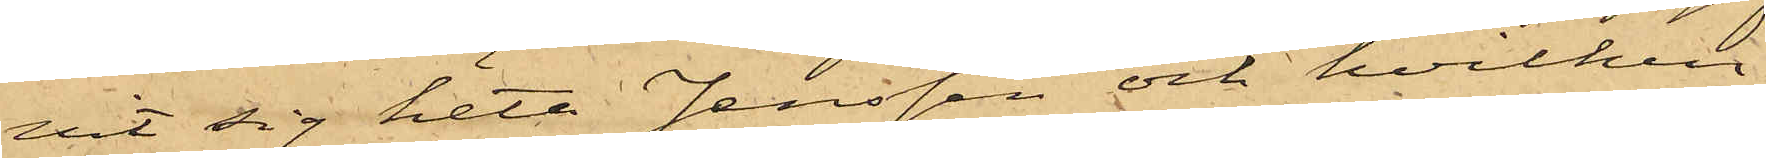vit sig heta Jenssen och hvilken
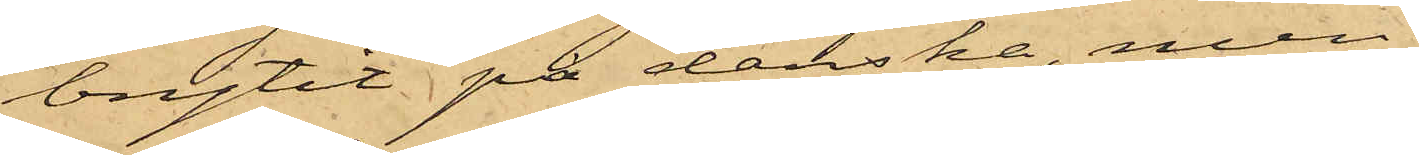brytit på danska, men
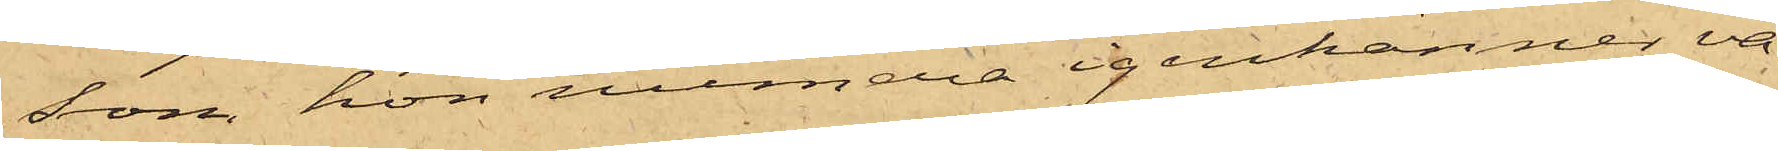som hon numera igenkänner va¬
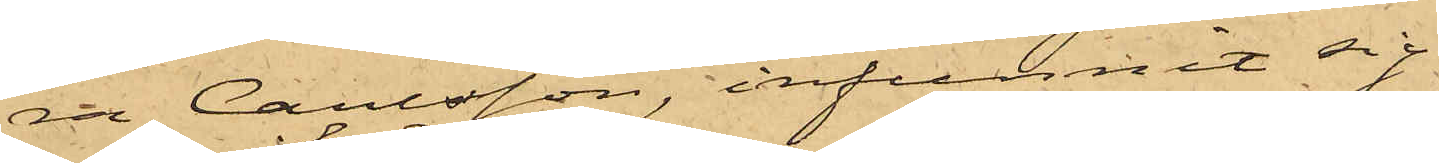ra Carlsson, infunnit sig
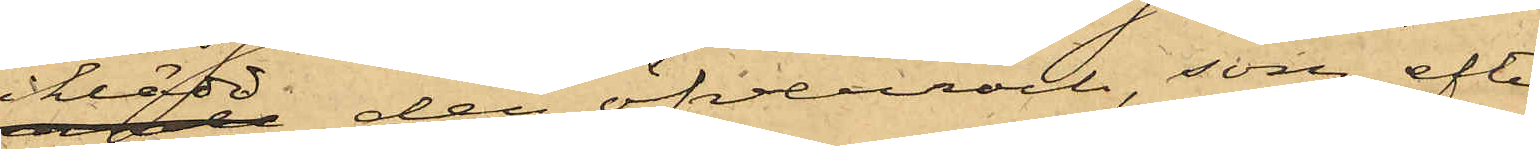iklädd den öfverrock, som, efter
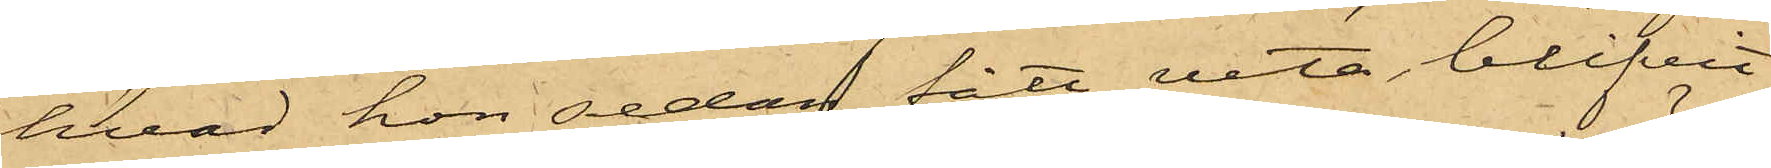hvad hon sedan fått veta, blifvit
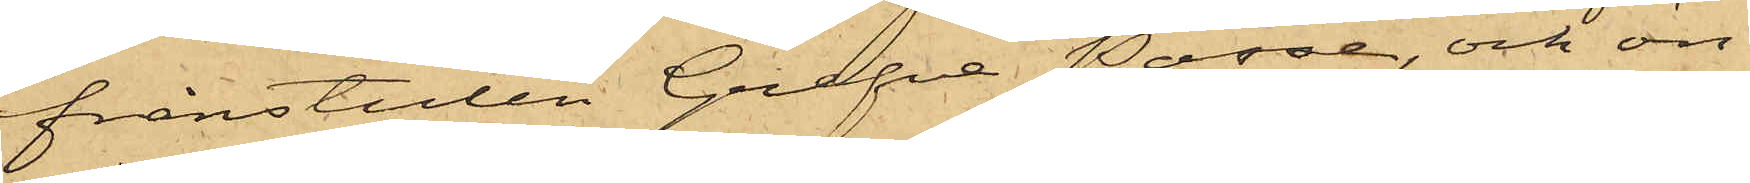frånstulen Grefve Posse, och ön¬
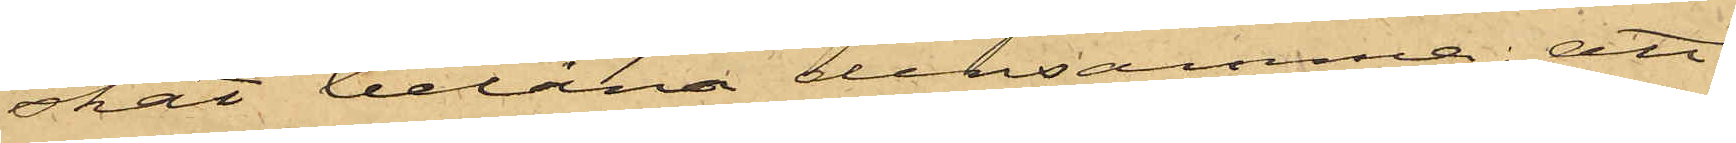skat belåna densamma; att
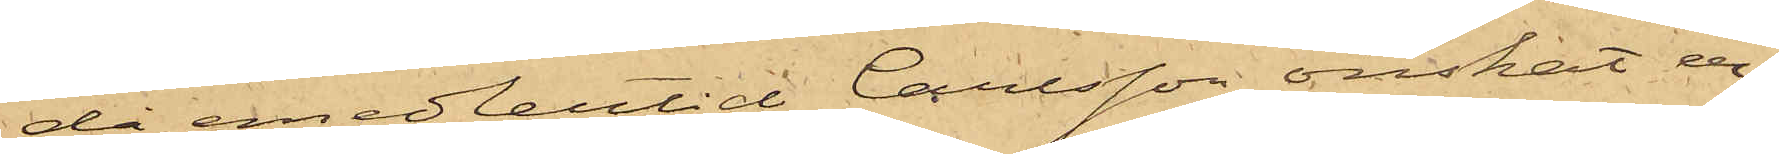då emedlertid Carlsson önskat er¬
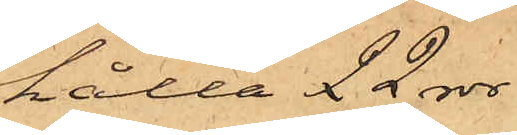hålla 22 rdr
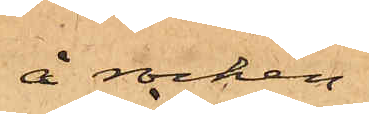å rocken,
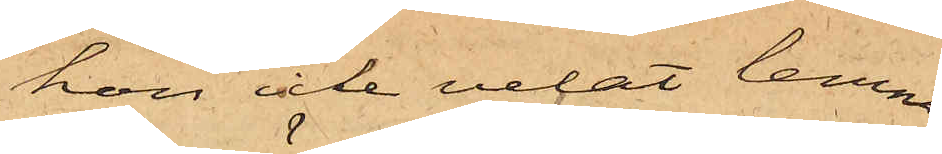hon icke velat lemna
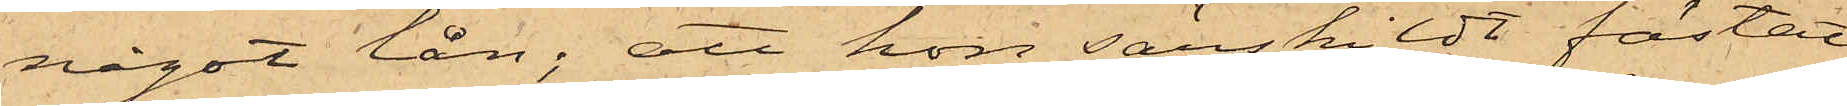något lån; att hon särskildt fästat
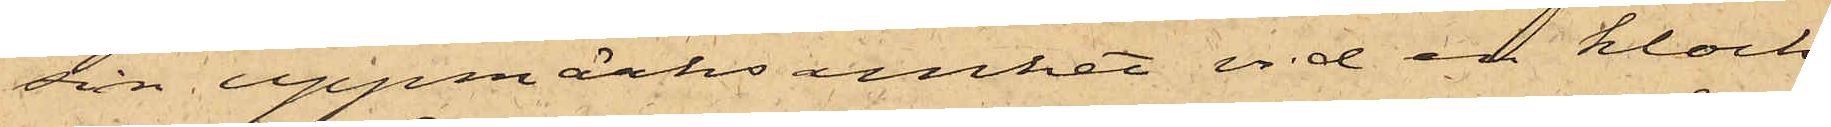sin uppmärksamhet vid en klock¬
